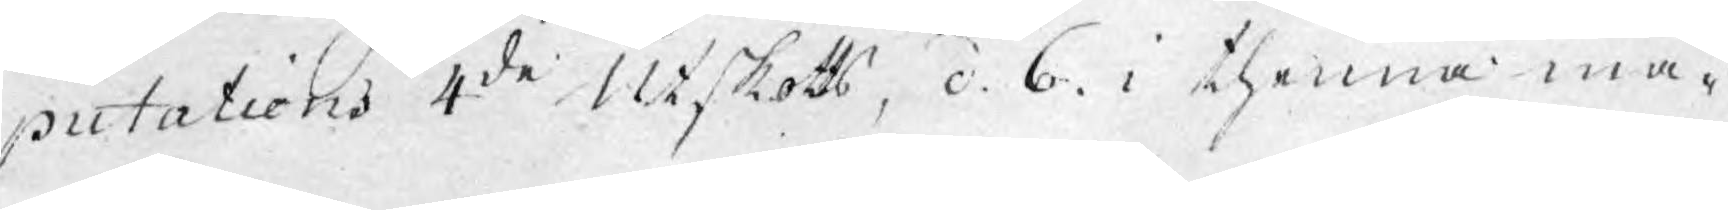putations 4de Utskotts, d. 6. i thenna må¬
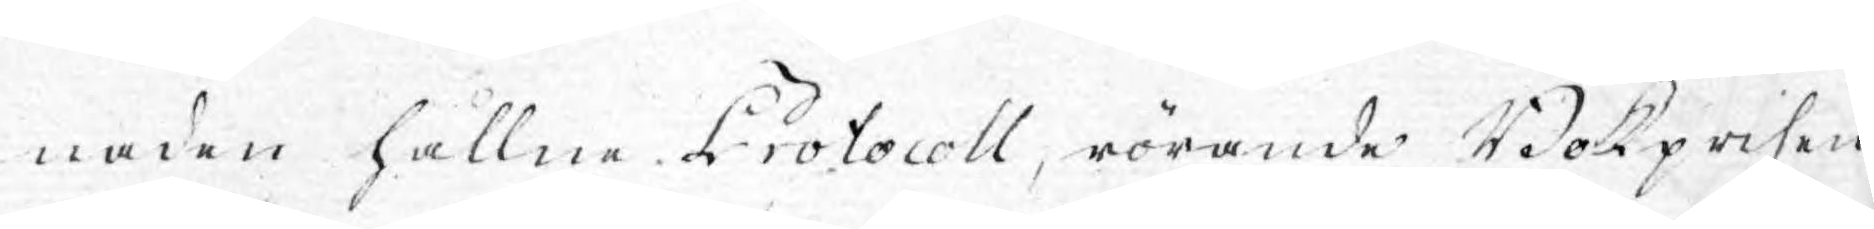naden hållne Protocoll, rörande Bokprisen
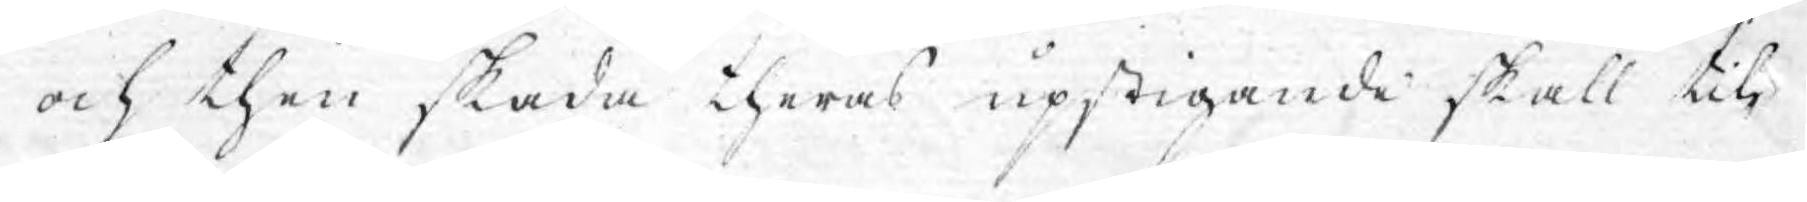och then skada theras upstigande skall till¬
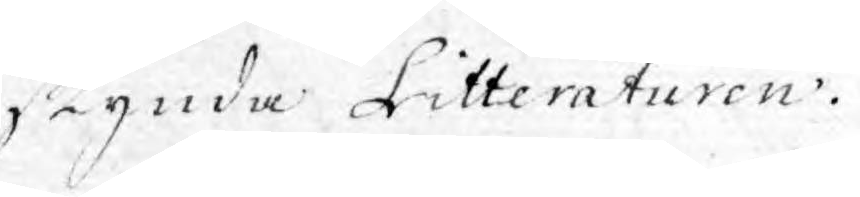skynda Litteraturen.
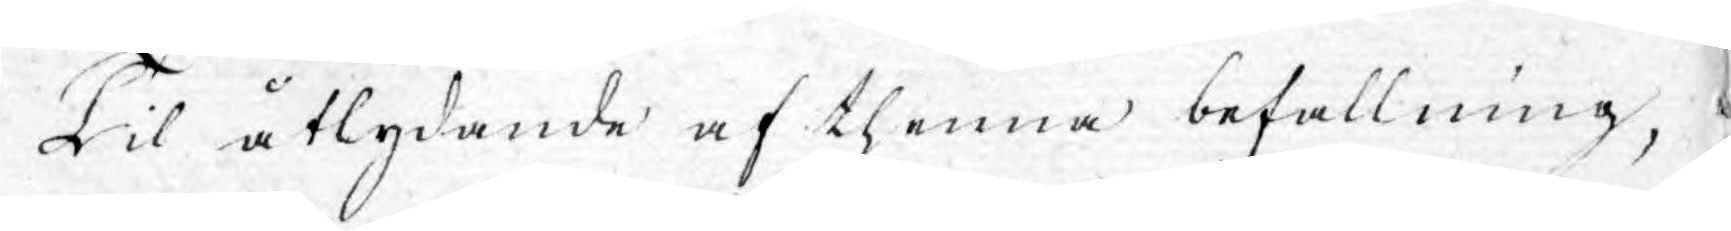Til åtlydande af thenna befallning,
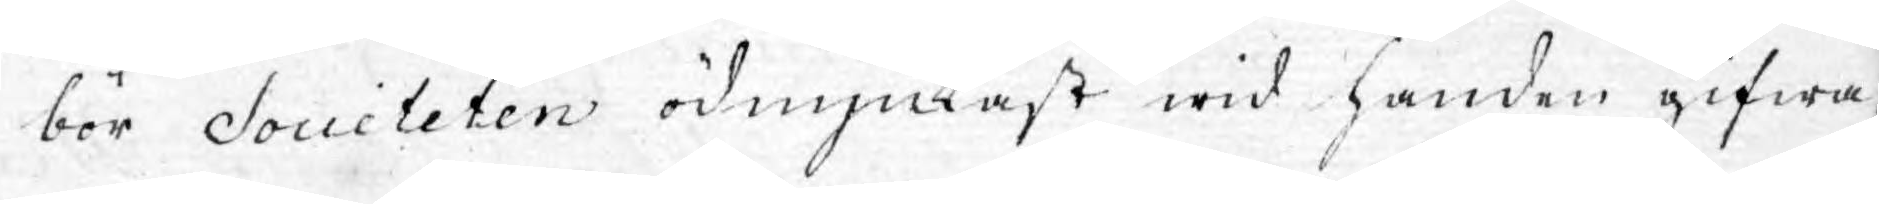bör Societeten ödmjukast wid handen gifwa;
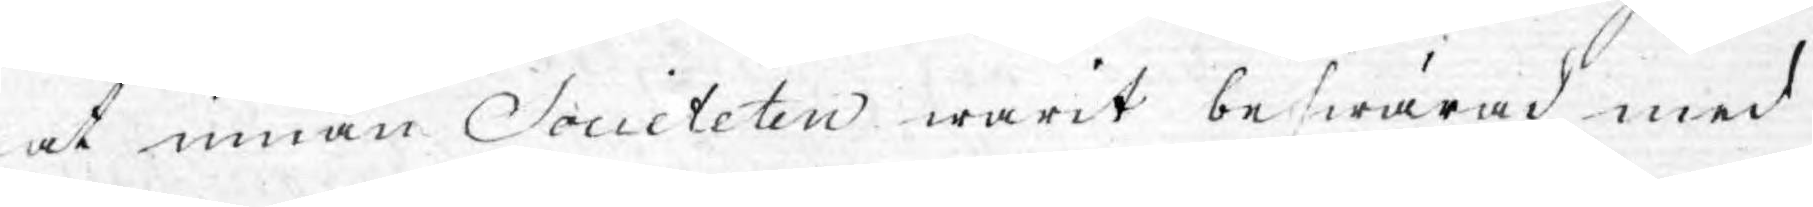at innan Societeten warit beswärad med
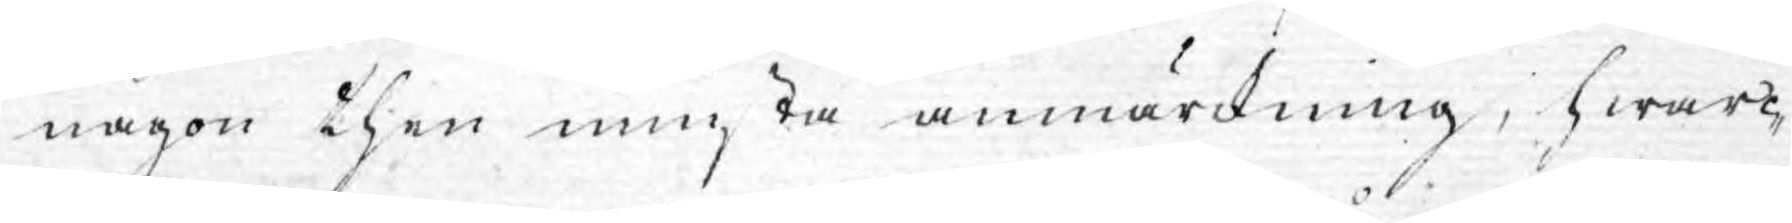någon then minsta anmärkning, hwar¬
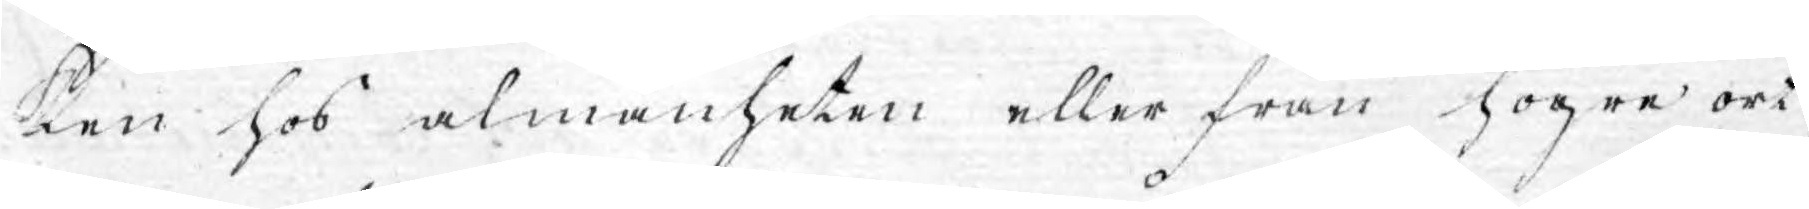ken hos almänheten eller från högre ort,
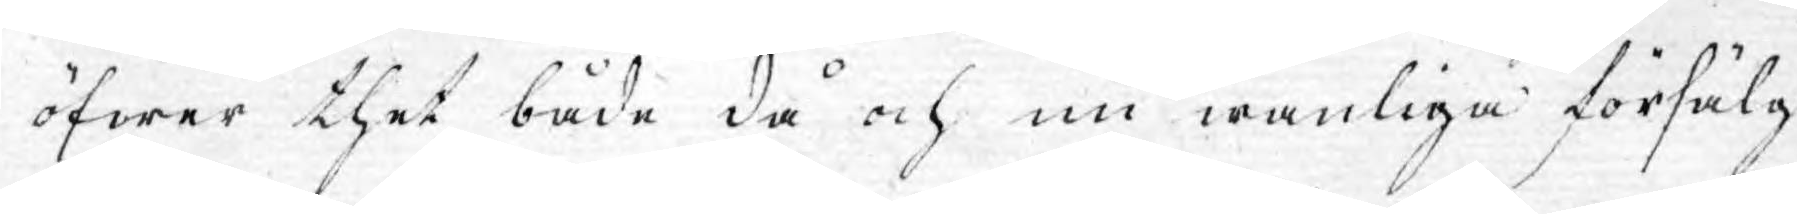öfwer thet både då och nu wanliga försälg¬
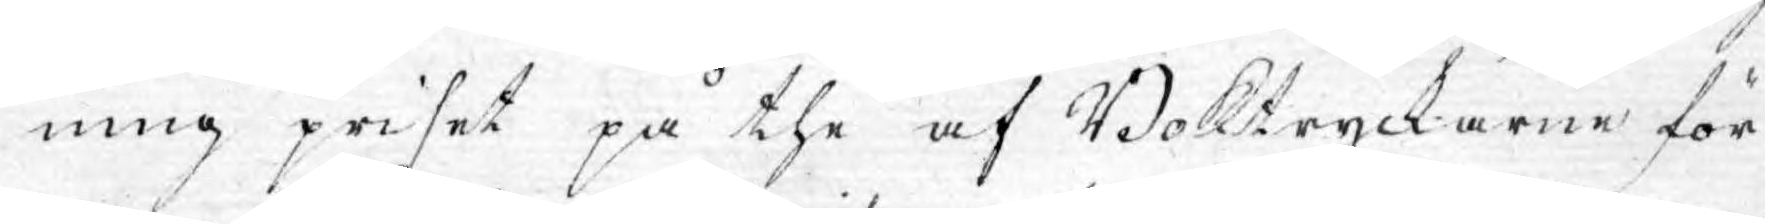ning priset på the af Boktryckarne för
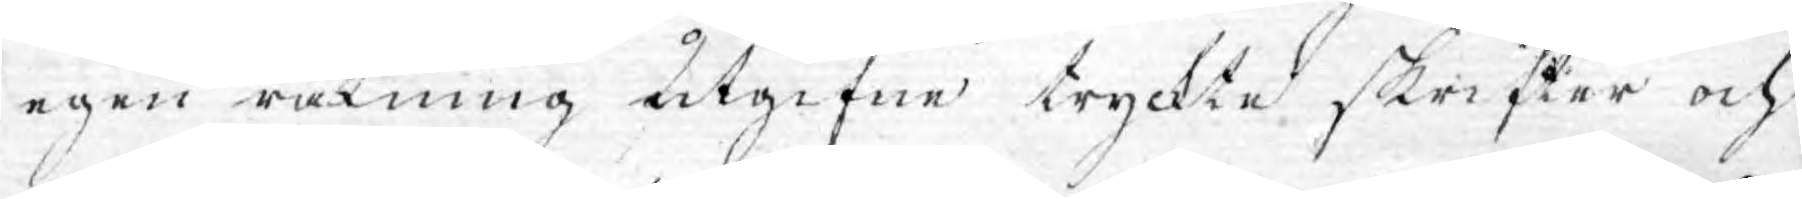egen räkning utgifne tryckte skrifter och
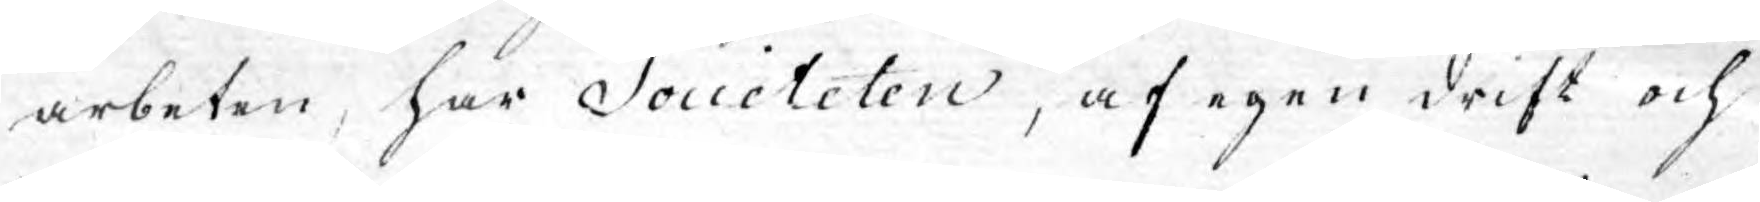arbeten, har Societeten, af egen drift och
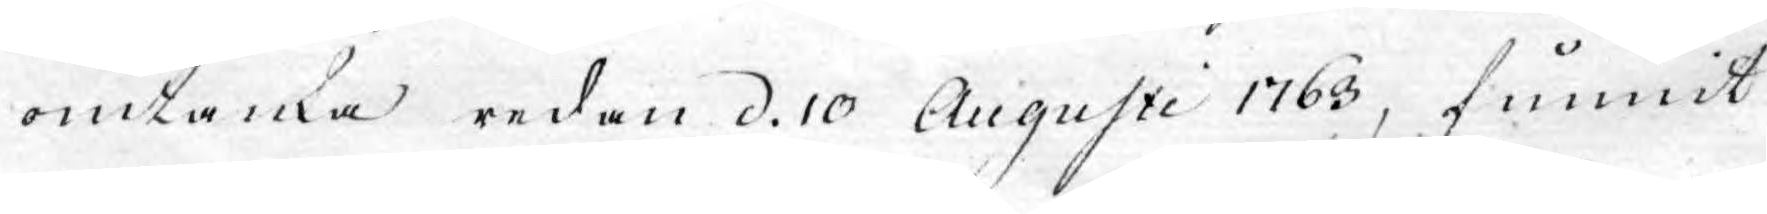omtanke redan d. 10 Augusti 1763, funnit
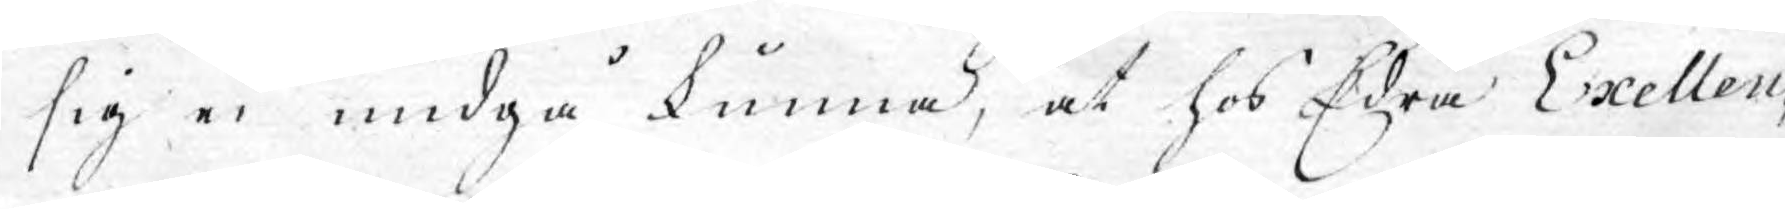sig ei undgå kunna, at hos Edra Exellen¬
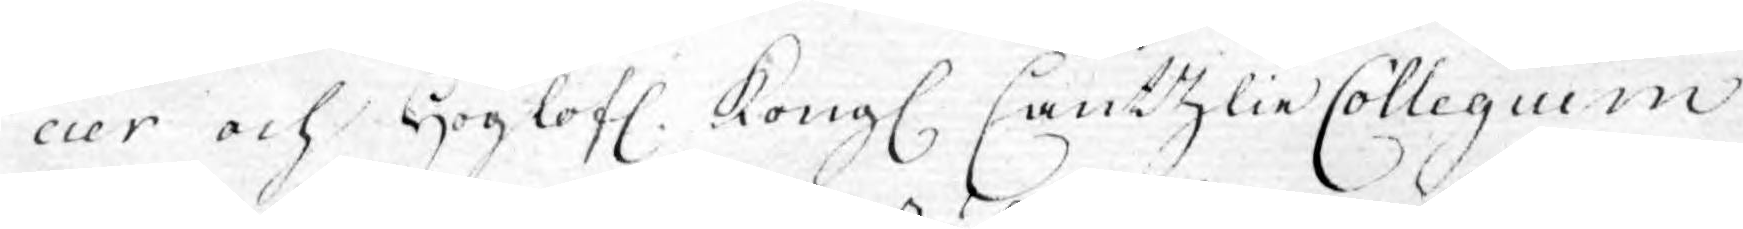cier och Höglofl. Kongl. Cantzlie Collegium
